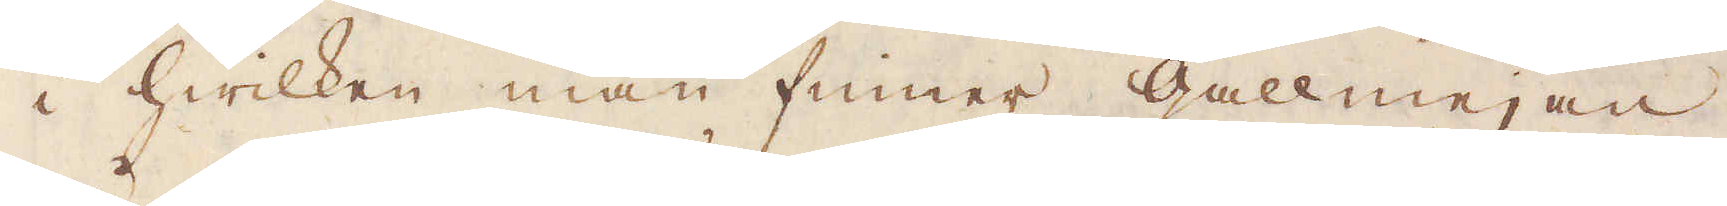i hwilken man finner gallmejan,
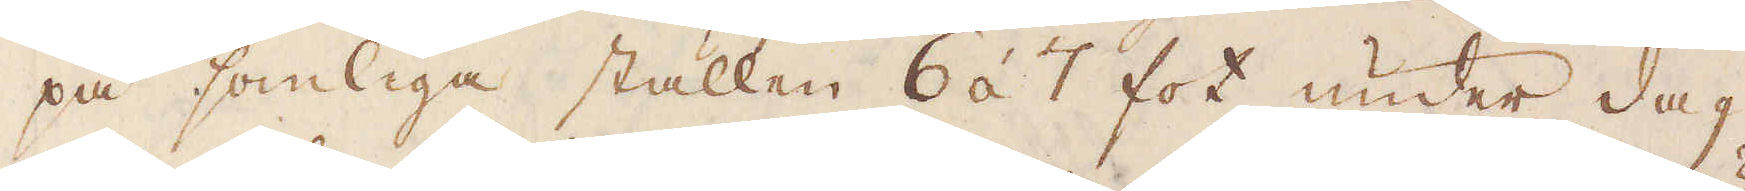på somliga ställen 6 á 7 fot under dag,
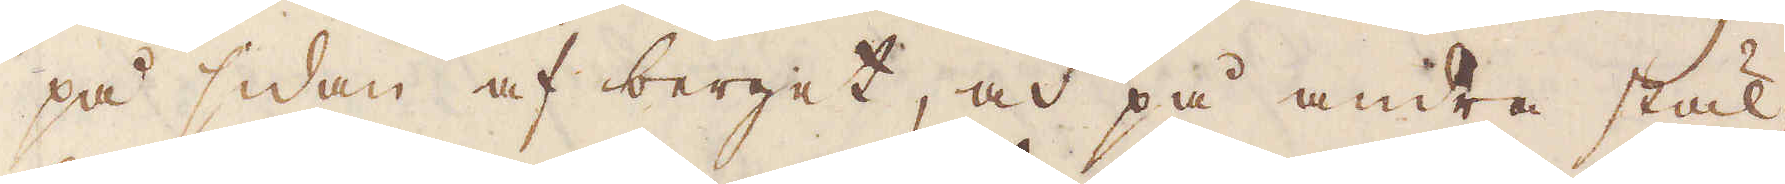på sidan af berget, och på andra stäl-
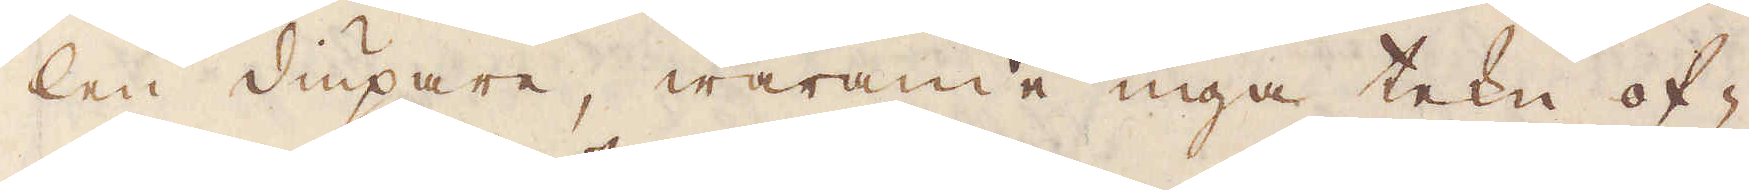len diupare, warande inga tekn of-
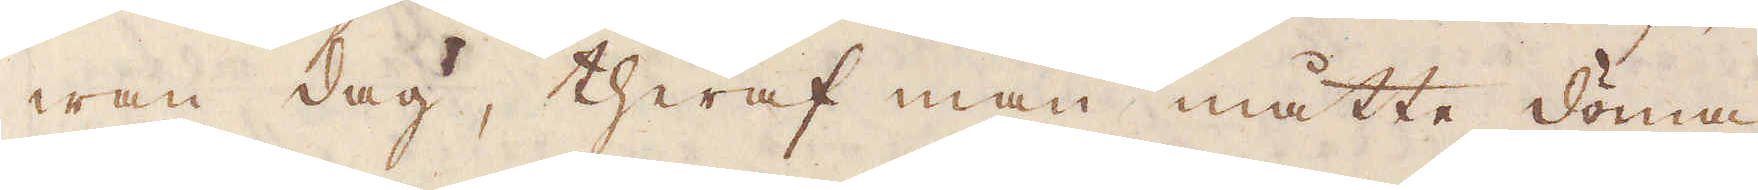wan dag, theraf man måtte döma
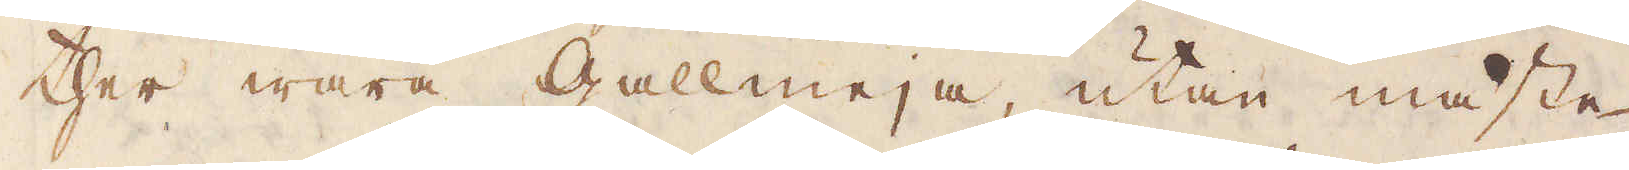ther wara gallmeja, utan måste
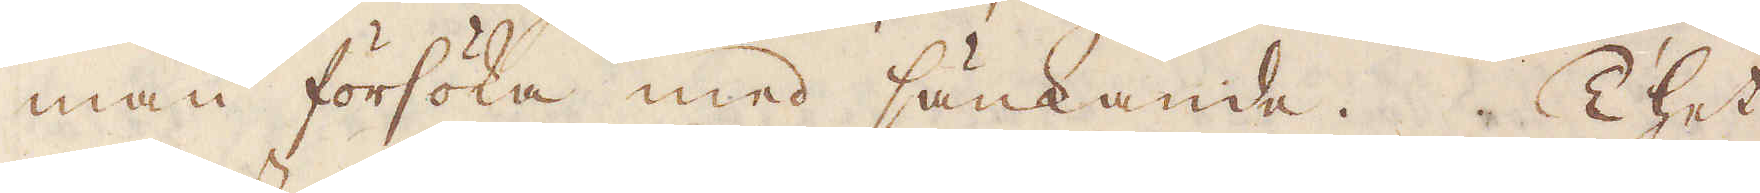man försöka med sänkande. Thet
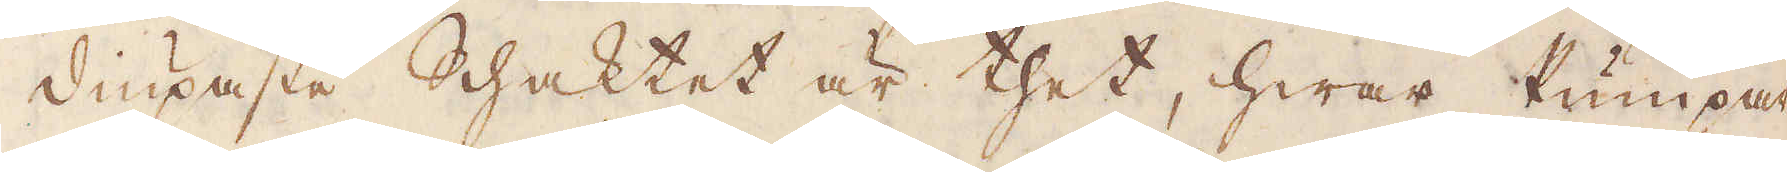diupaste Schaktet är thet, hwar Pumpar-
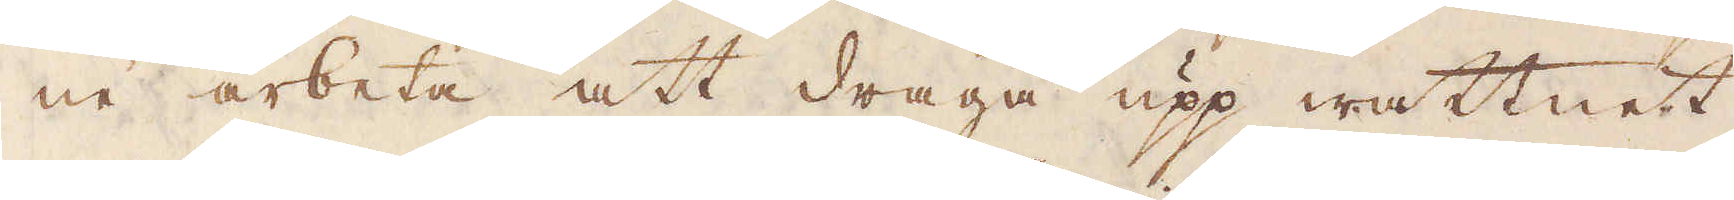ne arbeta att draga upp wattnet,
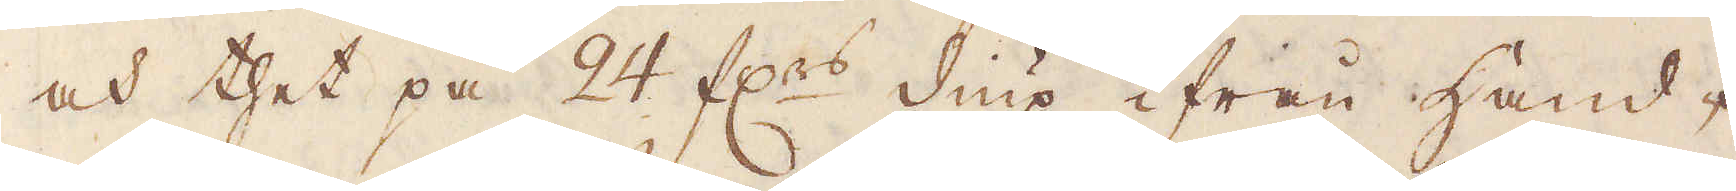och thet på 24 f:rs diup ifrån Hand-
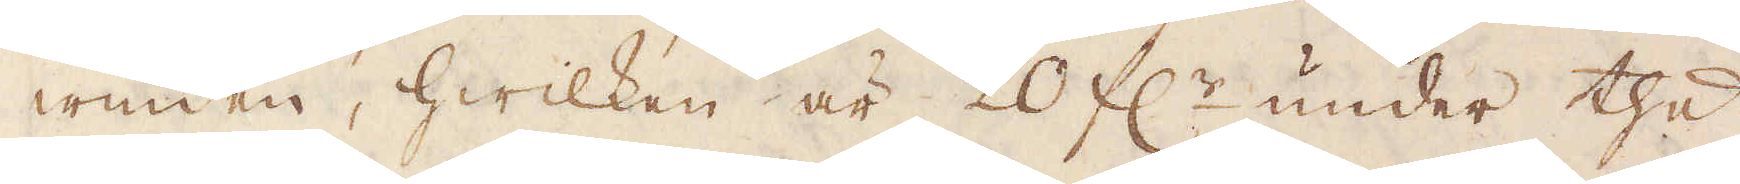winden, hwilken är 20 f:r under thet
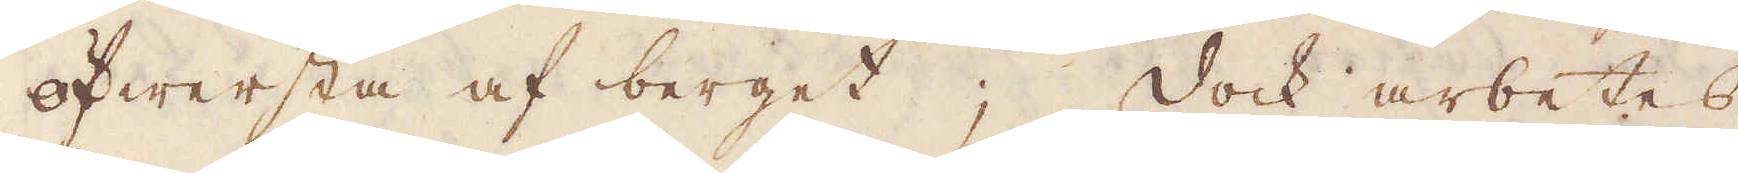öfwersta af berget; Dock arbetes
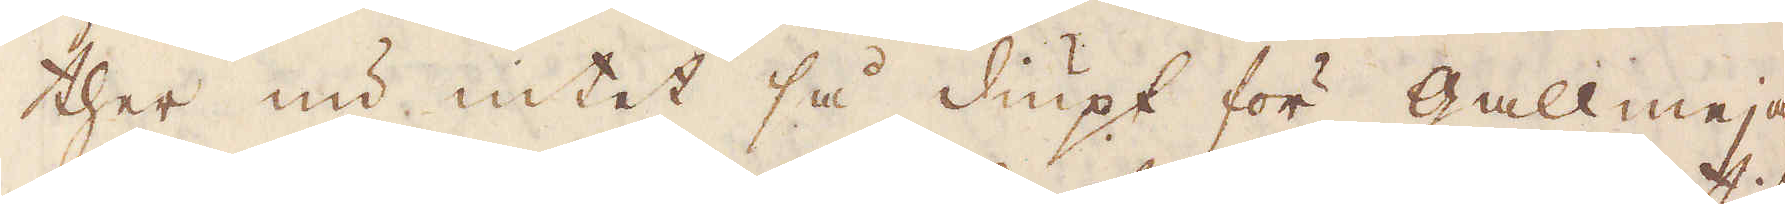ther nu intet så diupt för gallmeja,
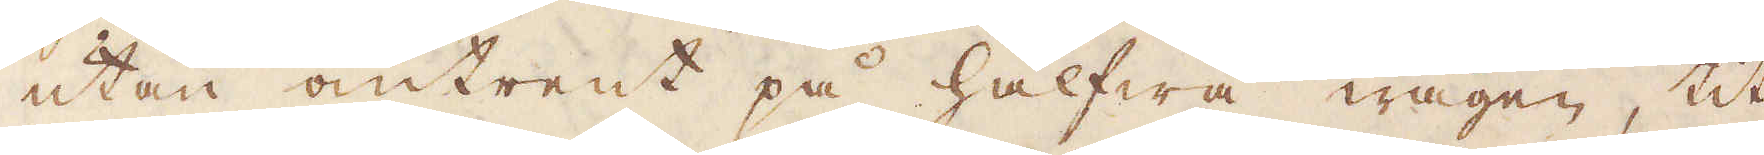utan omtrent på halfwa wägen, tit
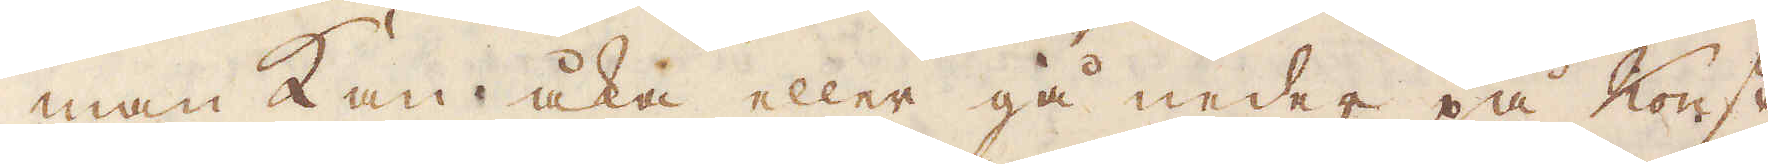man kan åka eller gå neder på Konst-
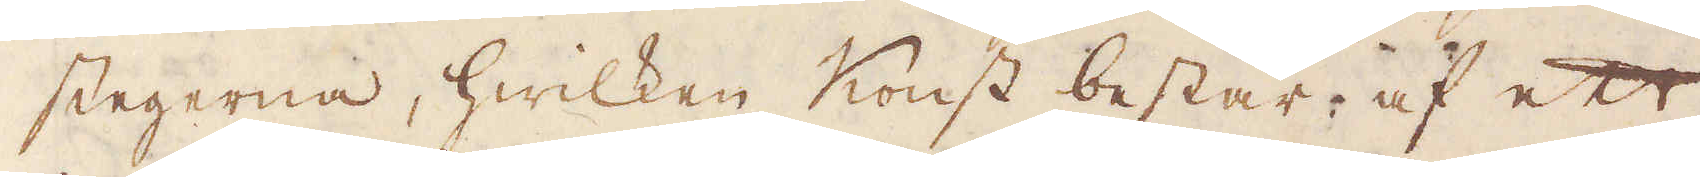stegerna, hwilken Konst består af ett
